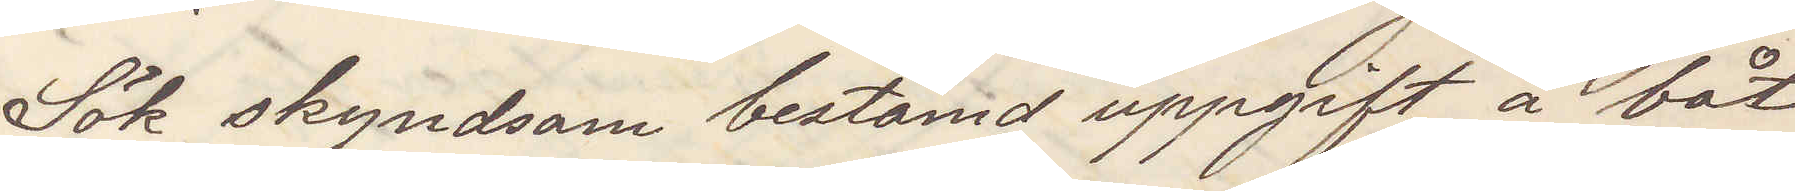Sök skyndsam bestämd uppgift å båt
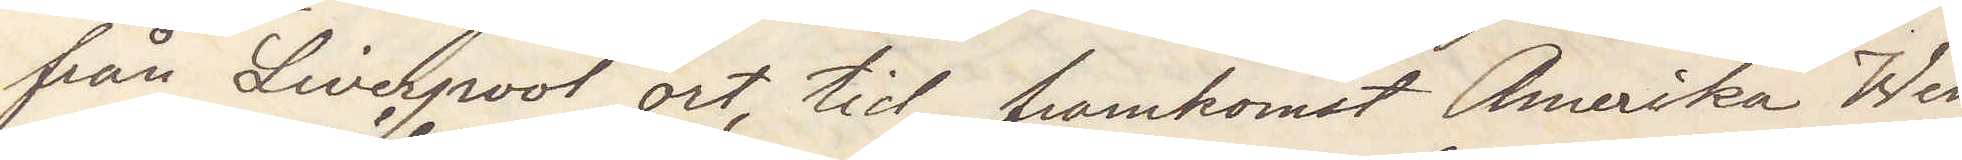från Liverpool ort, tid, framkomst Amerika Wen¬
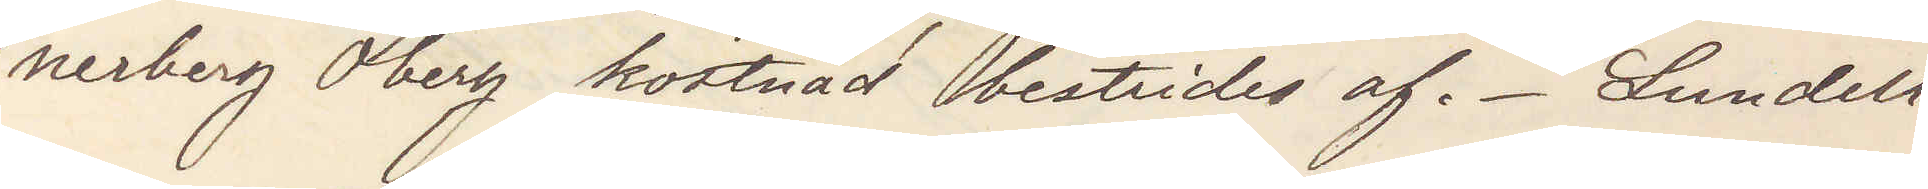nerberg Öberg kostnad bestrides af. Lundell
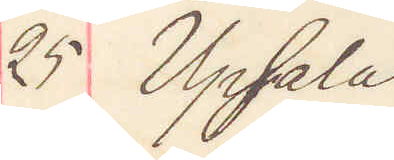25 Upsala
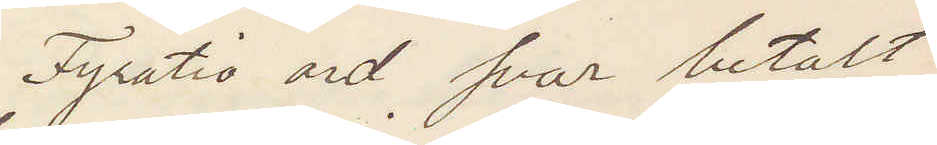Fyrtio ord svar betalt
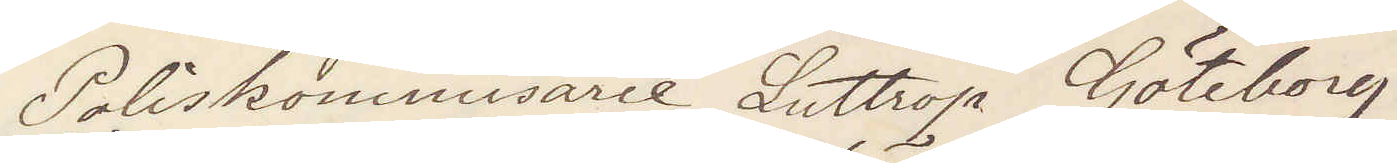Poliskommisareie Luttrop Göteborg
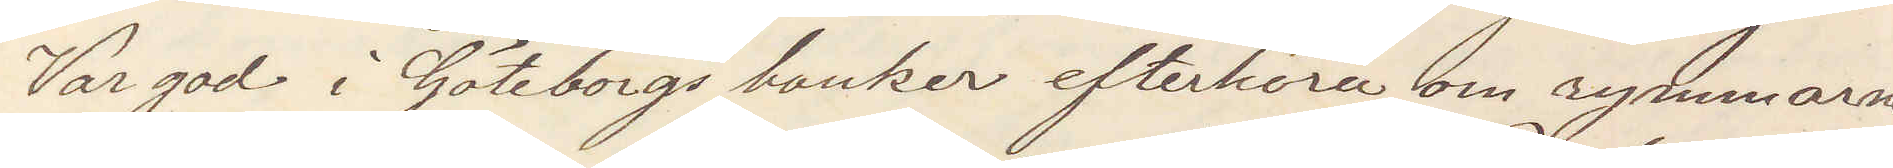Var god i Göteborgs banker efterhöra om rymmarna
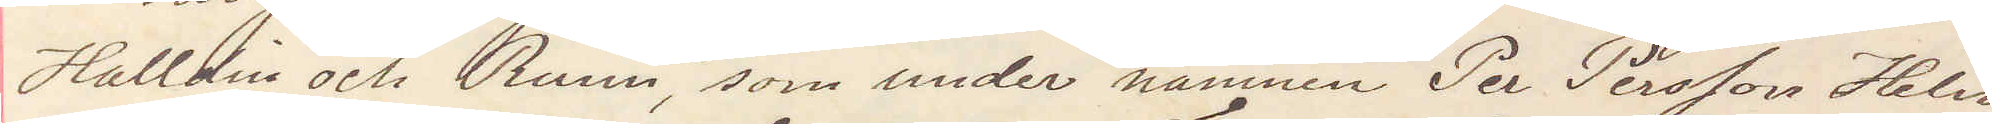Halldin och Runn, som under namnen Per Persson Helin,
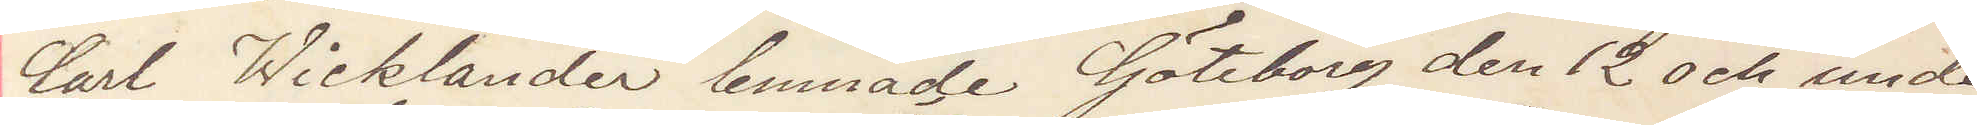Carl Wicklander lemnade Göteborg den 12 och under
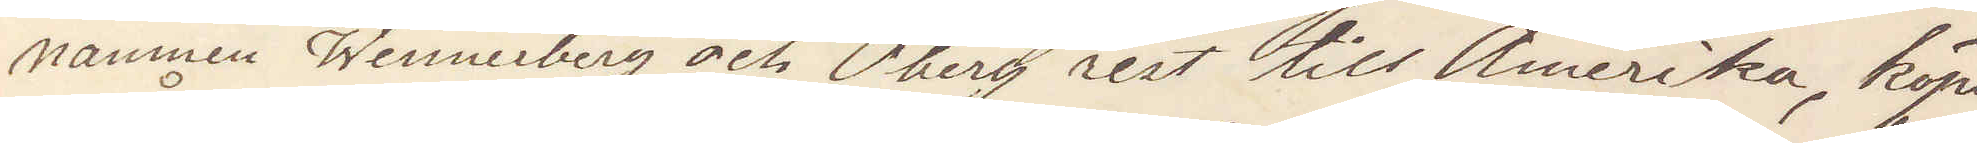namnen Wennerberg och Öberg rest till Amerika, köpt
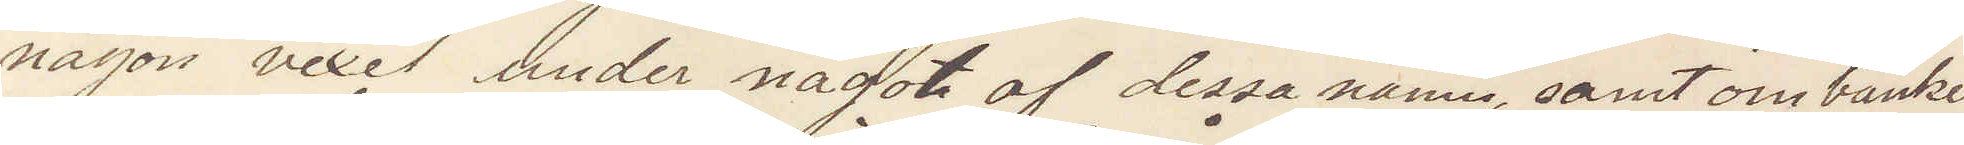någon vexel under något af dessa namn, samt om banken
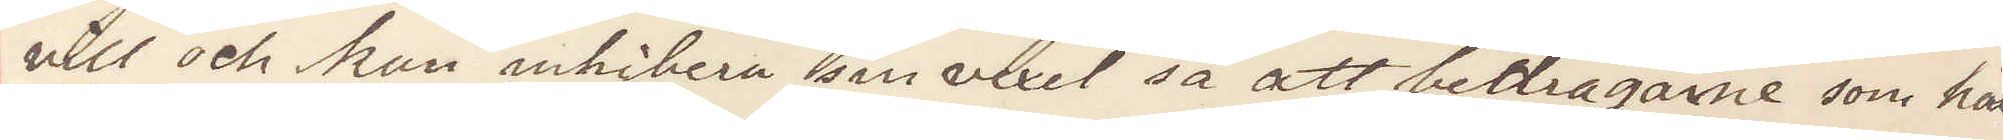vill och kan inhibera sin vexel så att bedragarne som här
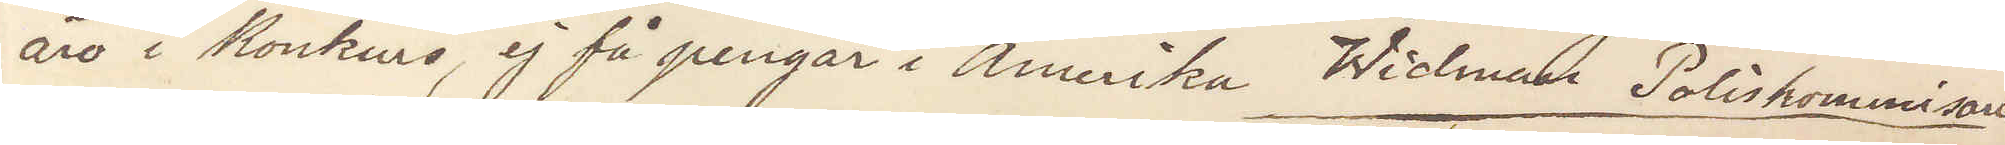äro i konkurs, ej få pengar i Amerika  Widman Poliskommisarie
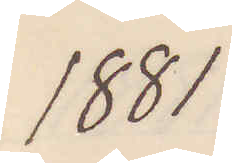1881
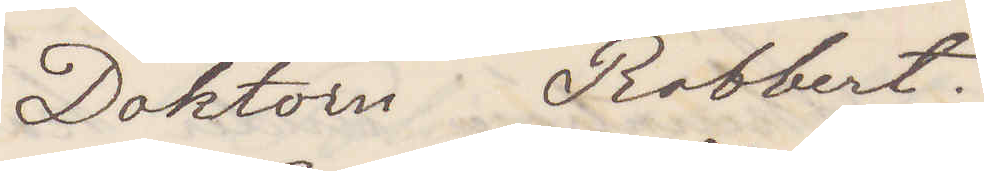Doktorn Robbert.
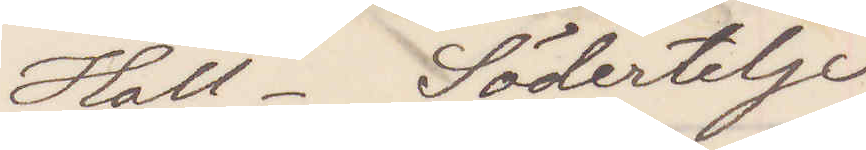Hall. Södertelje
